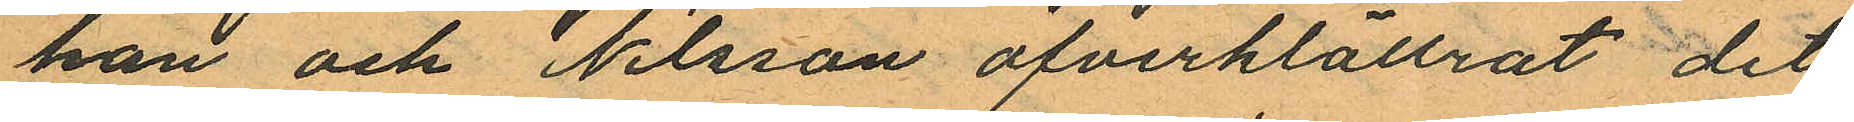han och Nilsson öfverklättrat det
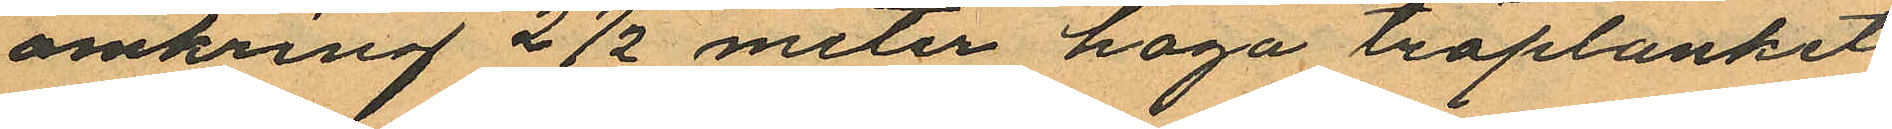omkring 2½ meter höga träplanket
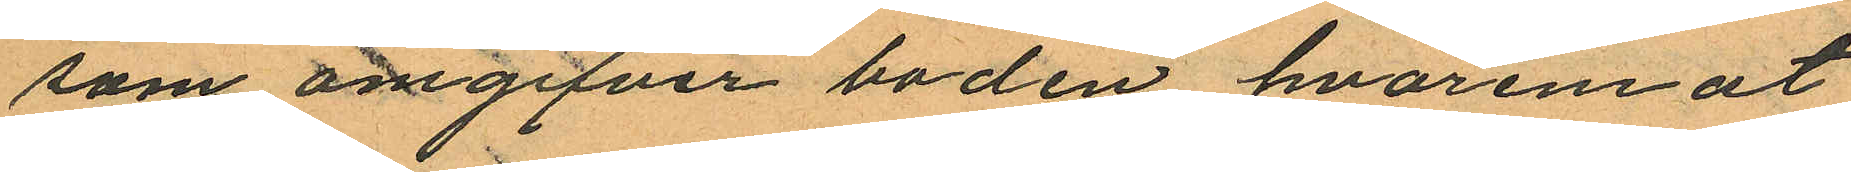som omgifver boden hvaremot
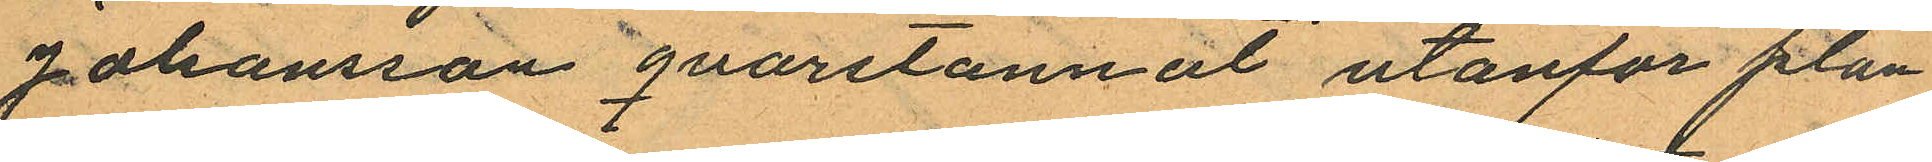Johansson qvarstannat utanför plan¬
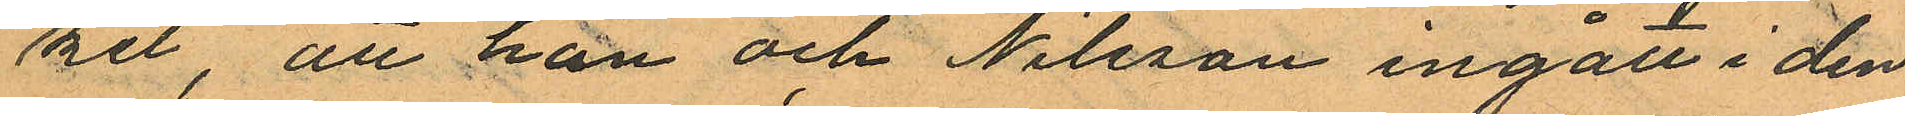ket, att han och Nilsson ingått i den
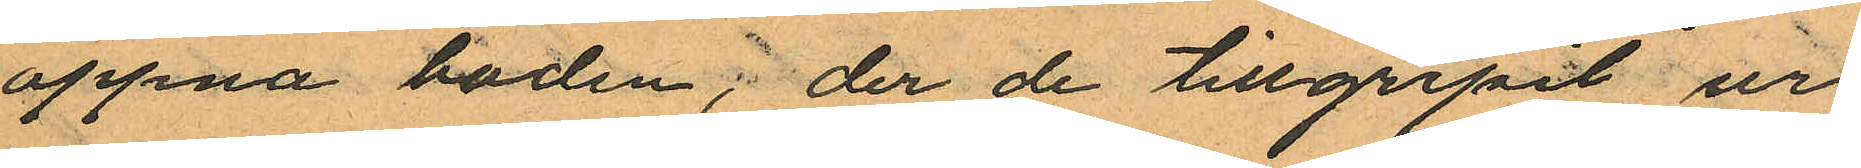öppna boden; der de tillgripit ur
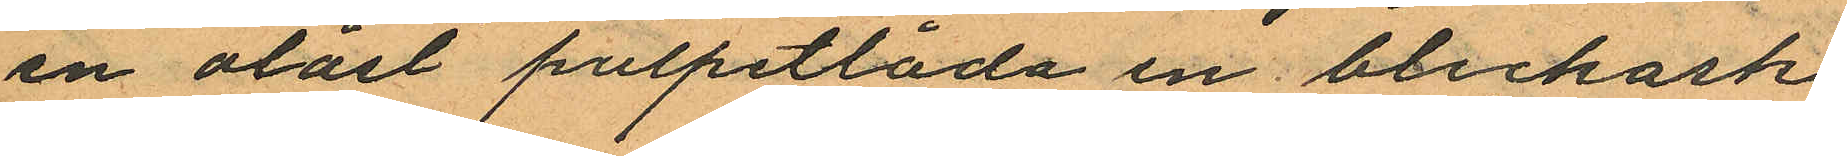en olåst pulpetlåda en bleckask
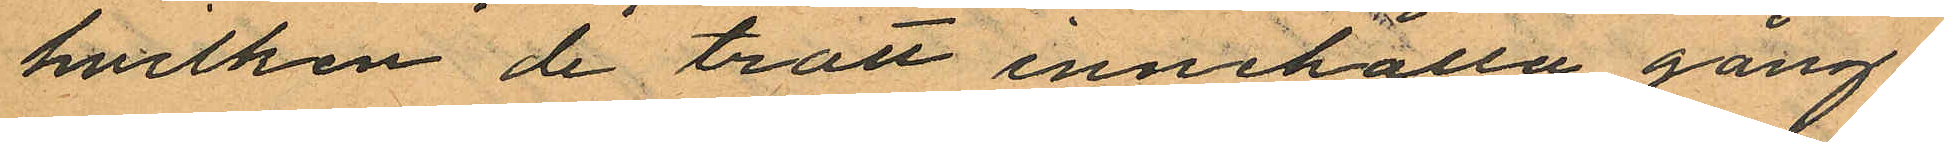hvilken de trott innehålla gång¬
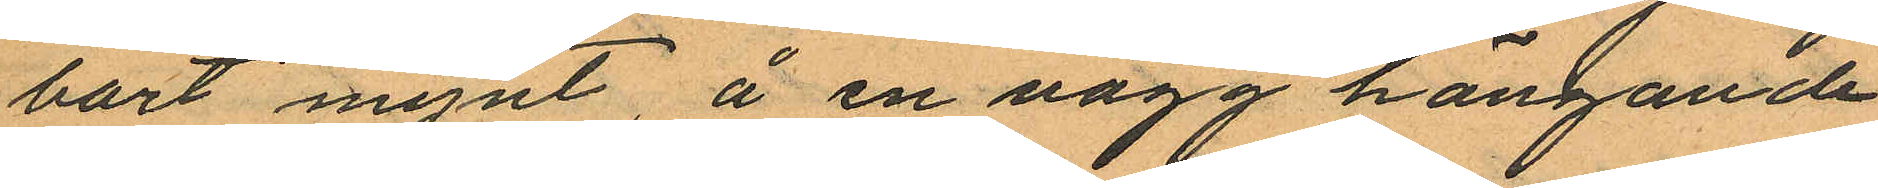bart mynt, å en vägg hängande
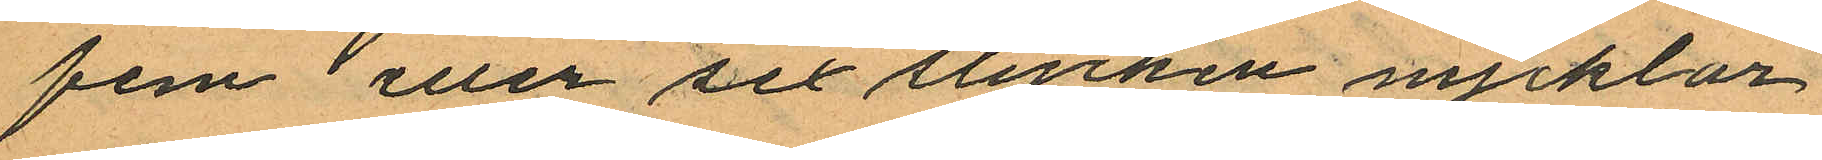fem eller sex stycken nycklar
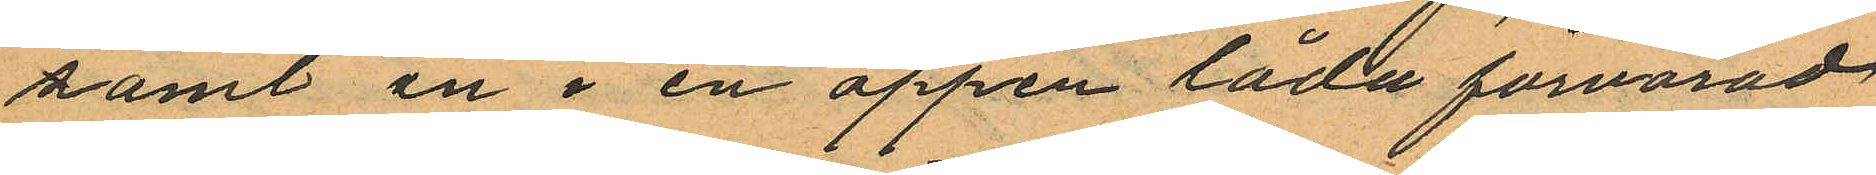samt en i en öppen låda förvarad
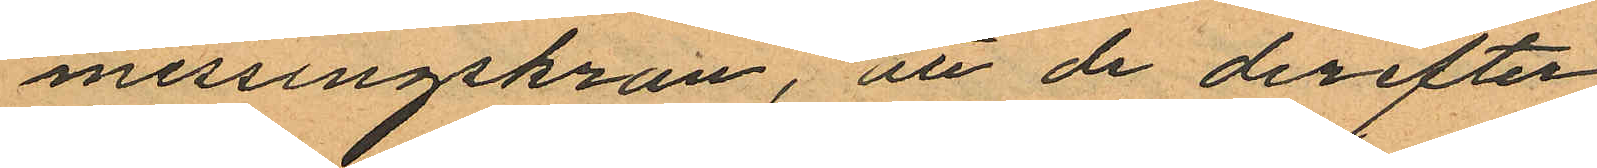messingskran, att de derefter
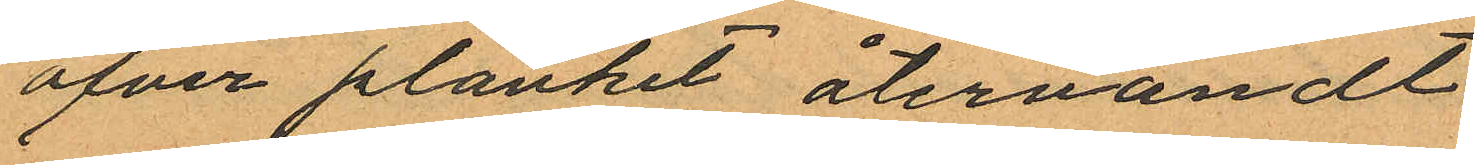öfver planket återvändt
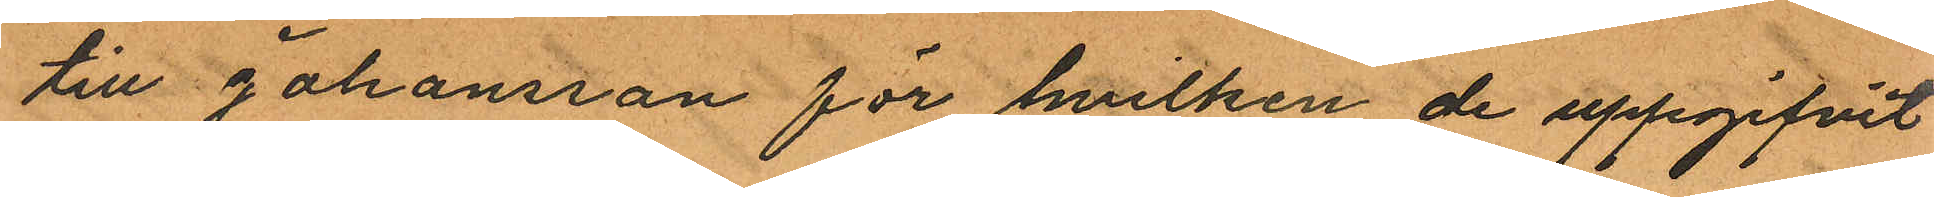till Johansson för hvilken de uppgifvit
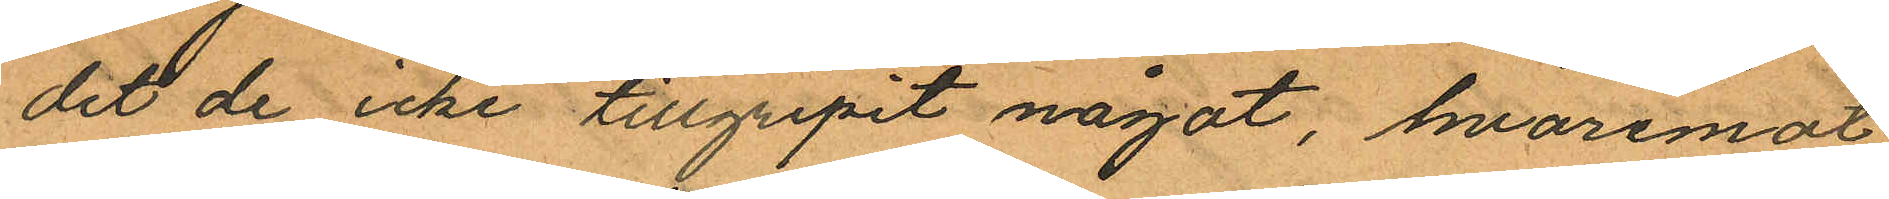det de icke tillgripit något, hvaremot
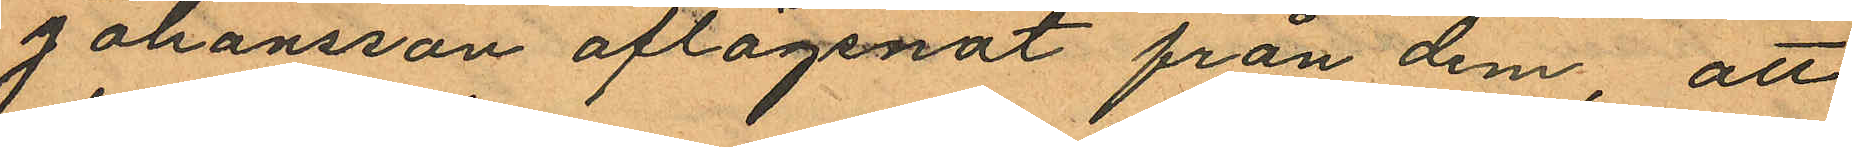Johansson aflägsnat från dem, att
